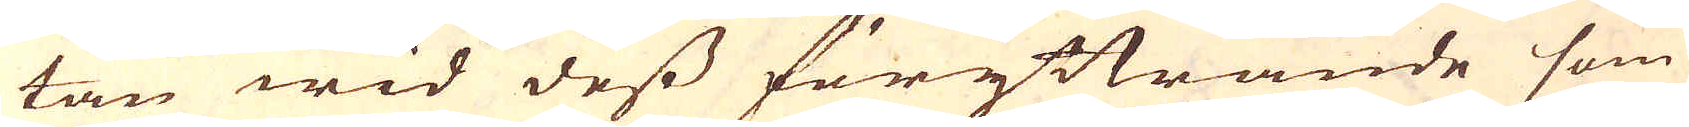tan wid dess föryttrande som
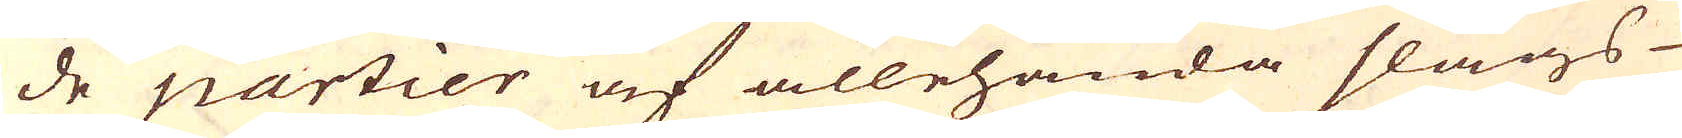de partier af allehanda slags
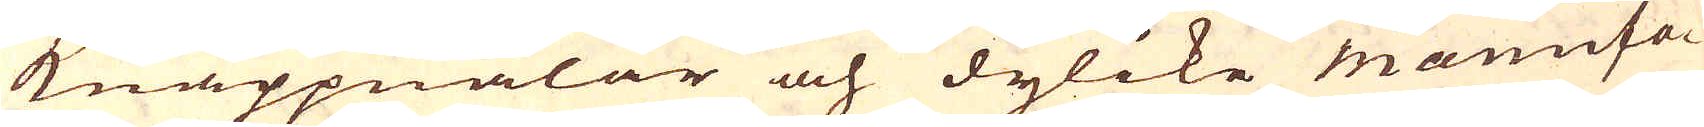knappnålar och dylike manufa-
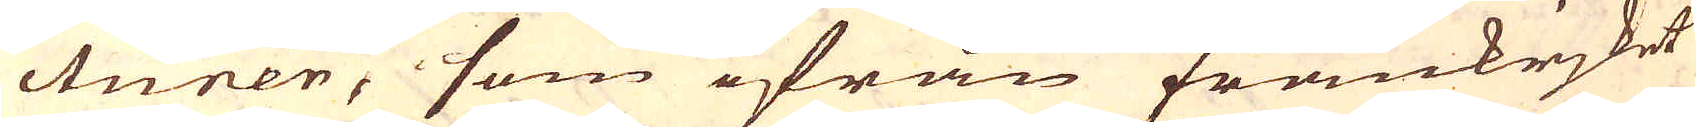cturer, som ifrån Frankriket
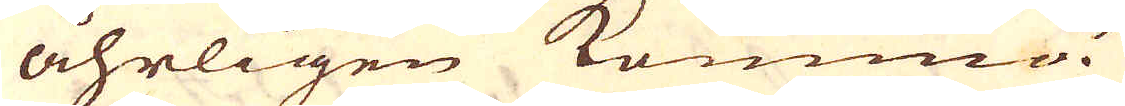åhrligen komma.
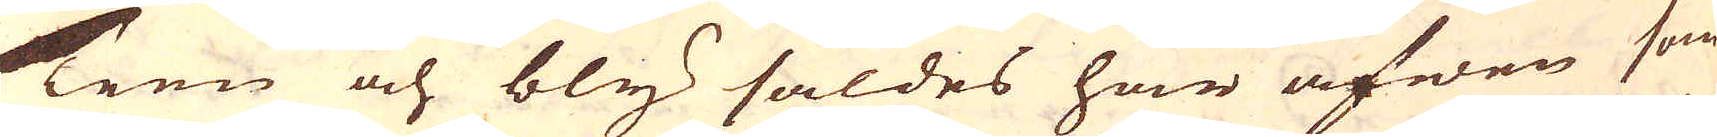Teen och bly såldes här äfwen som
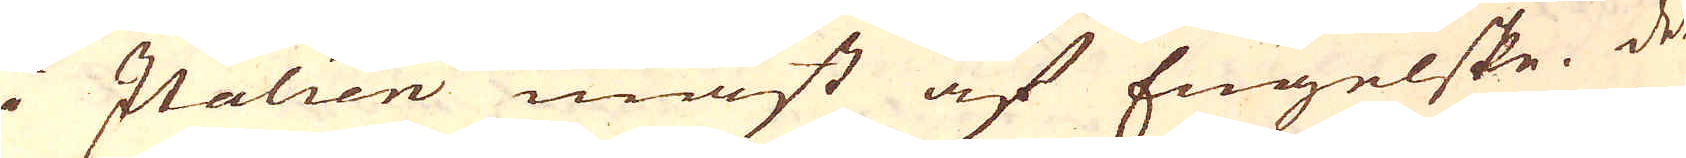i Italien mäst af Engelske. De
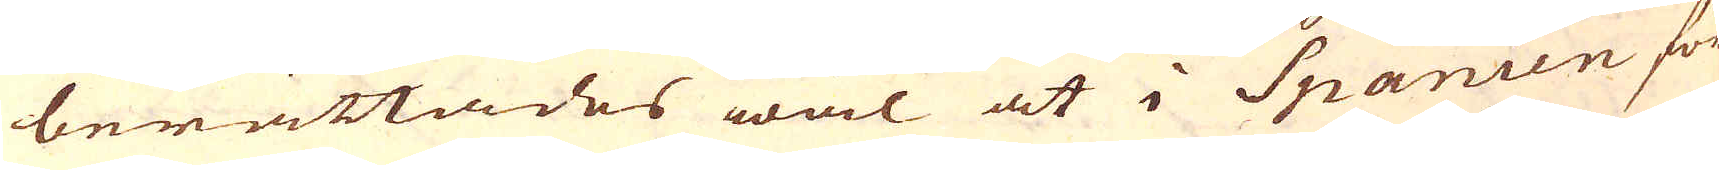berättades wäl at i Spanien för
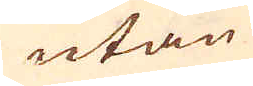utan
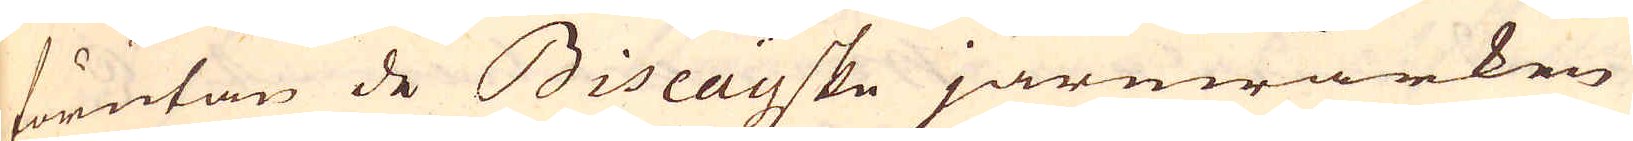förutan de Biscayske järnwärken
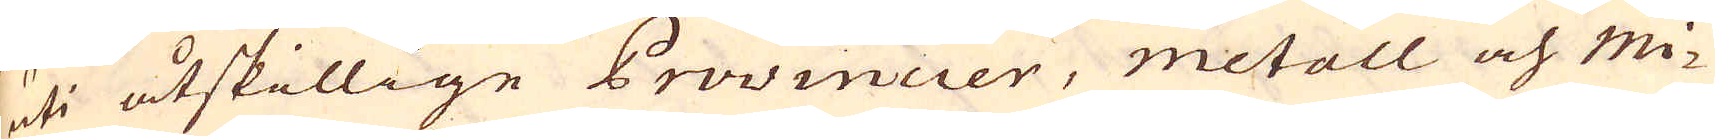uti åtskillige Provincier, metall och Mi-
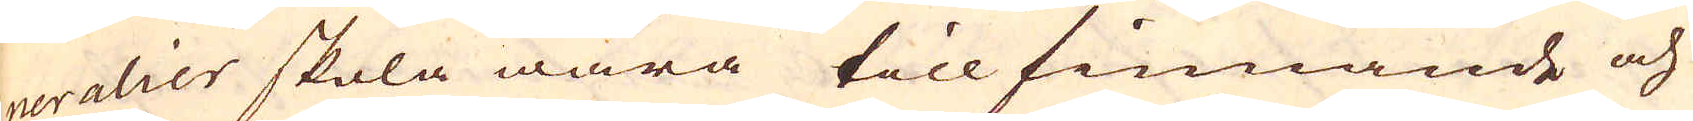neralier skola wara till finnande och
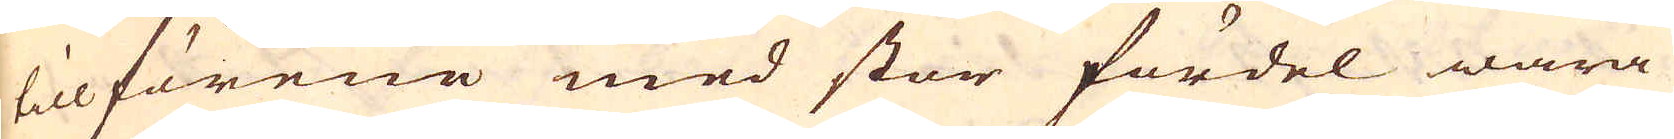tillförene med stor fördel wara
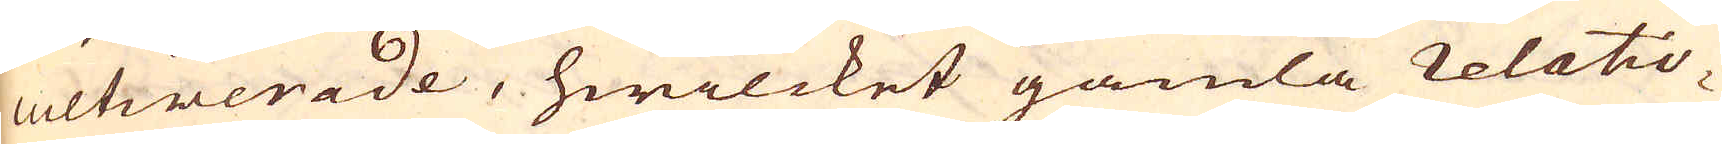cultiverade, hwilcket gamla relatio-
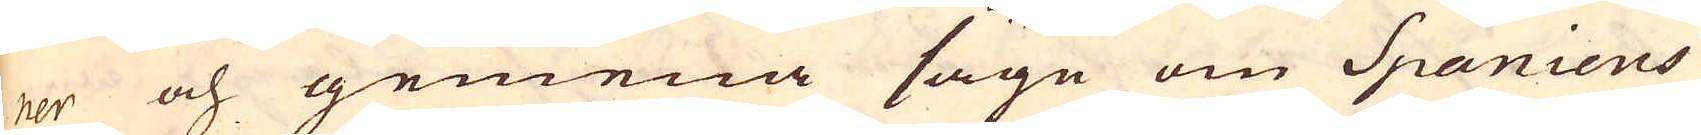ner och gemena säge om Spaniens
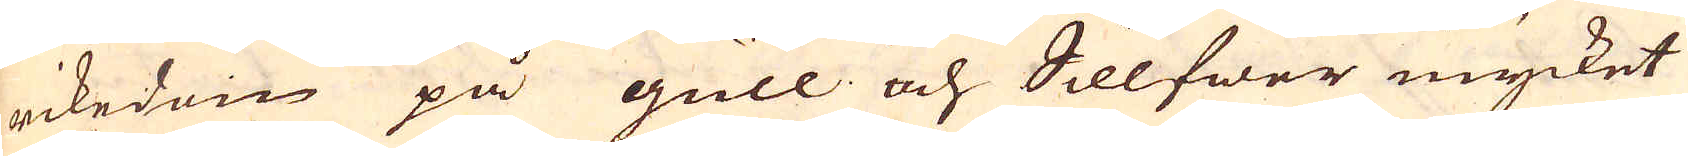rikedom på gull och Sillfwer mycket
